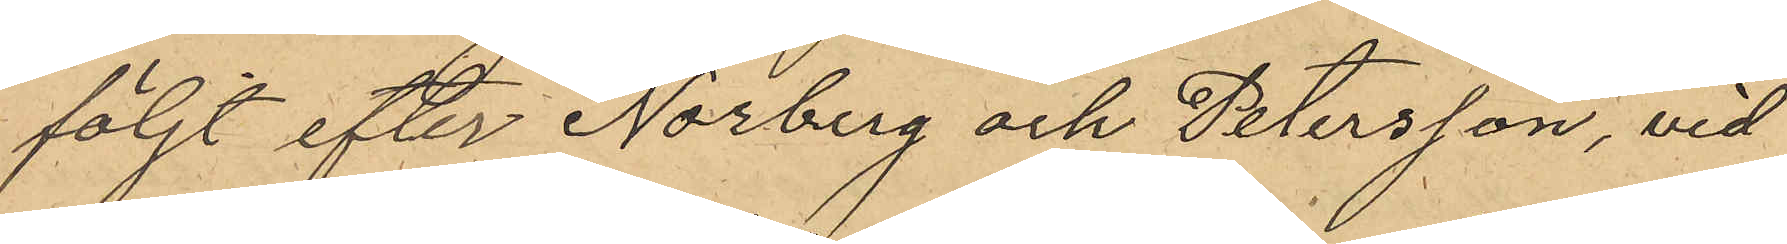följt efter Norberg och Petersson, vid
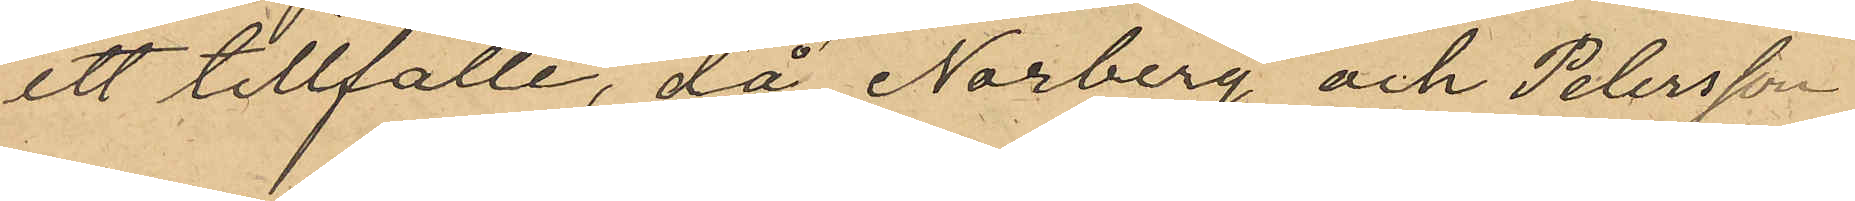ett tillfälle, då Norberg och Petersson
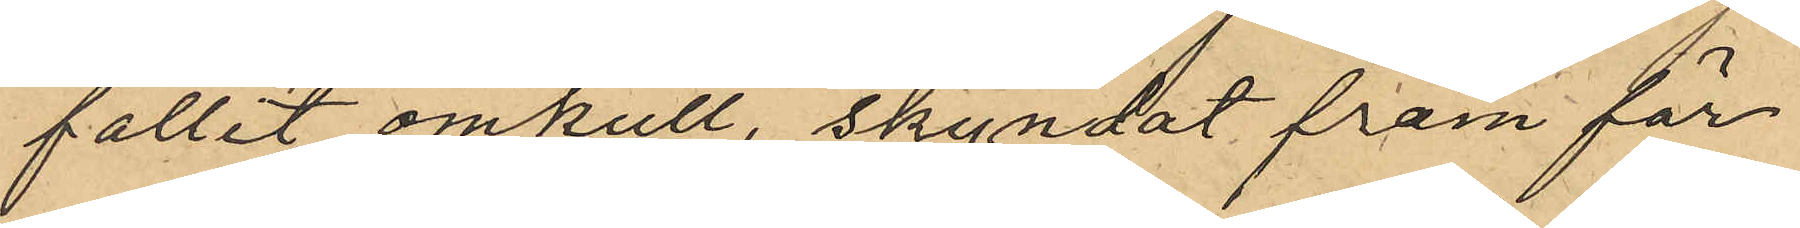fallit omkull, skyndat fram för
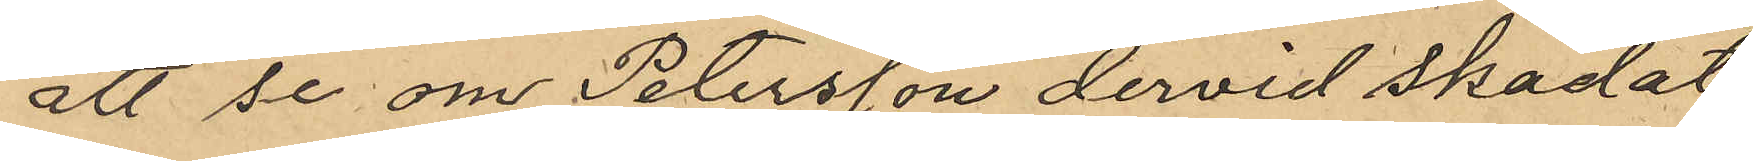att se om Petersson dervid skadat
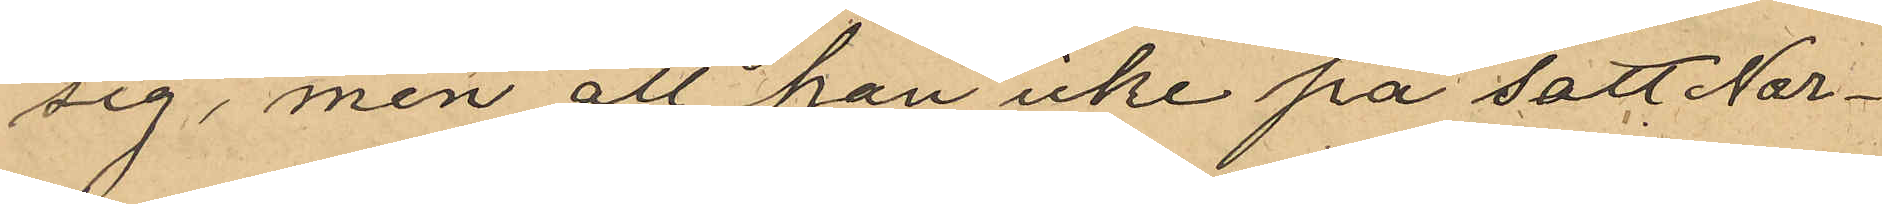sig, men att han icke på sätt Nor¬
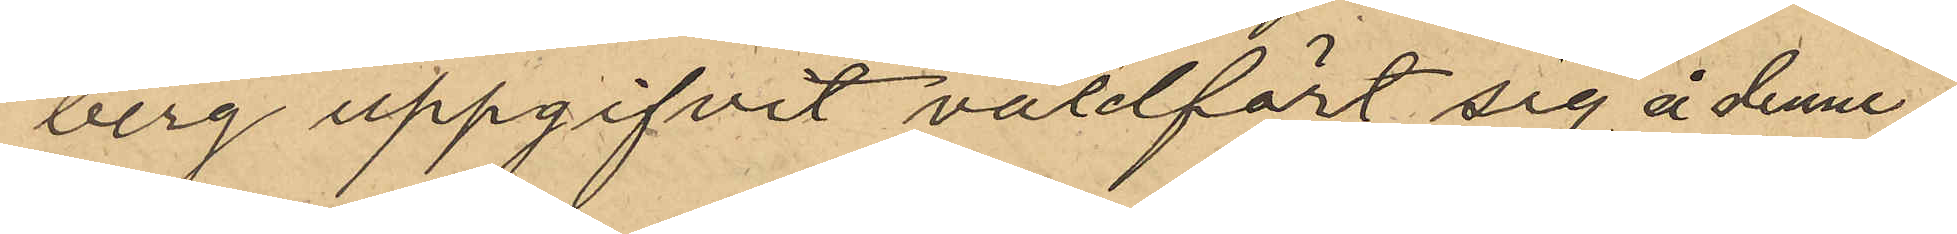berg uppgifvit våldfört sig å denne.
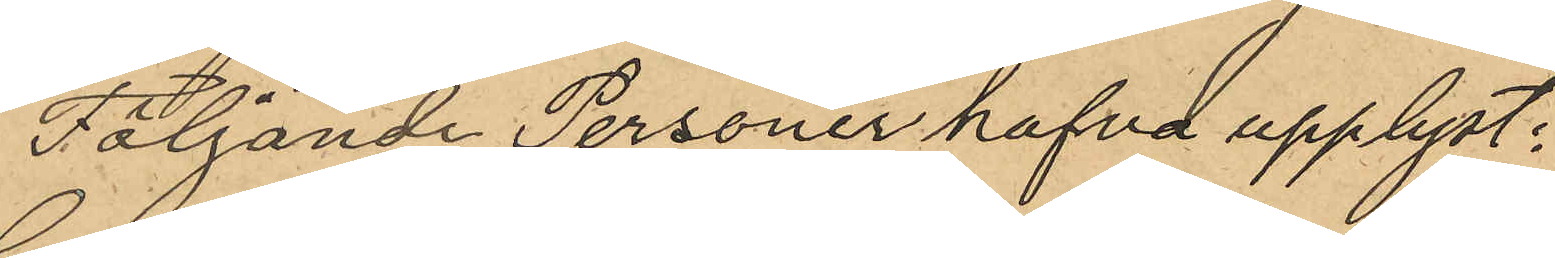Följande Personer hafva upplyst:
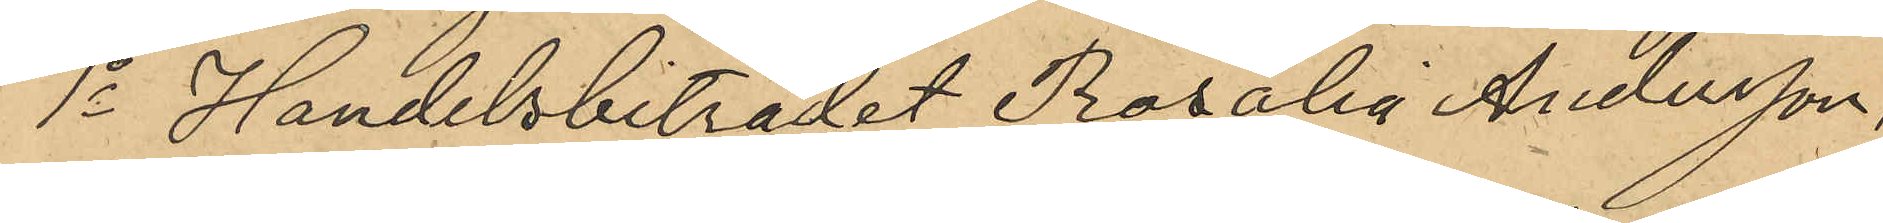1o Handelsbiträdet Rosalia Andersson,
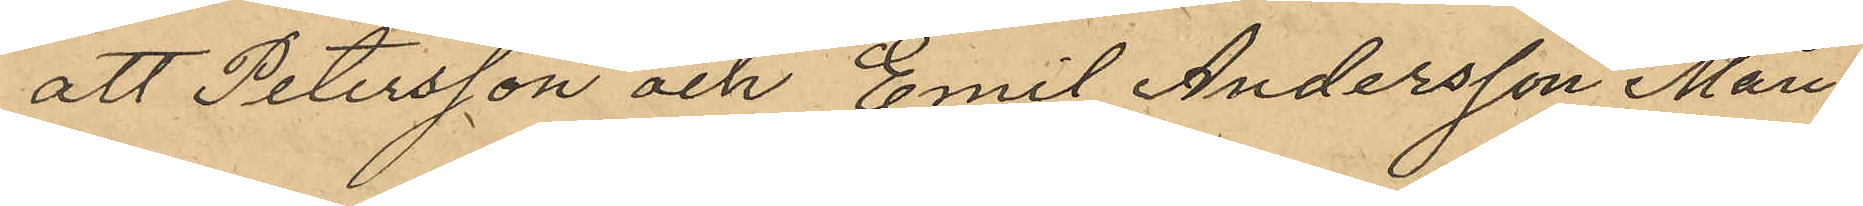att Petersson och Emil Andersson Mån¬
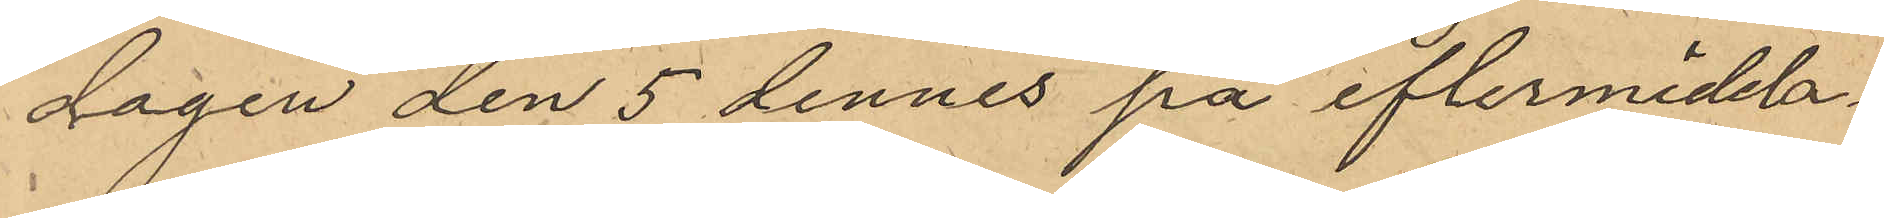dagen den 5 dennes på eftermidda¬
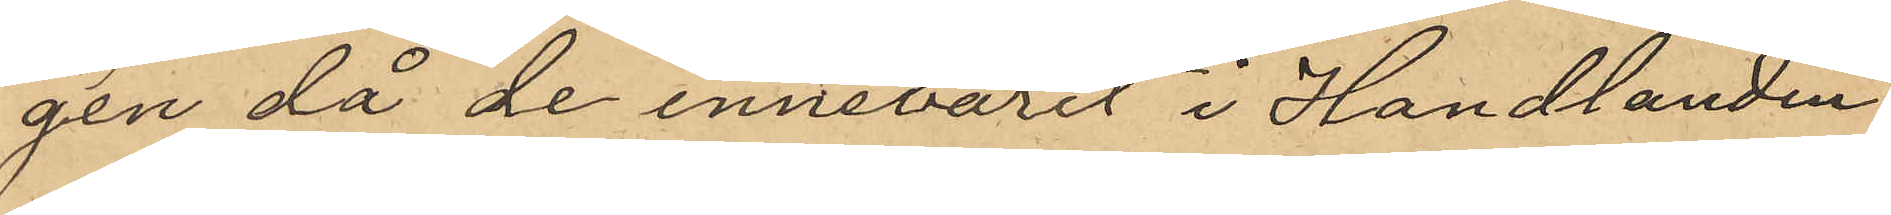gen då de innevarit i Handlanden
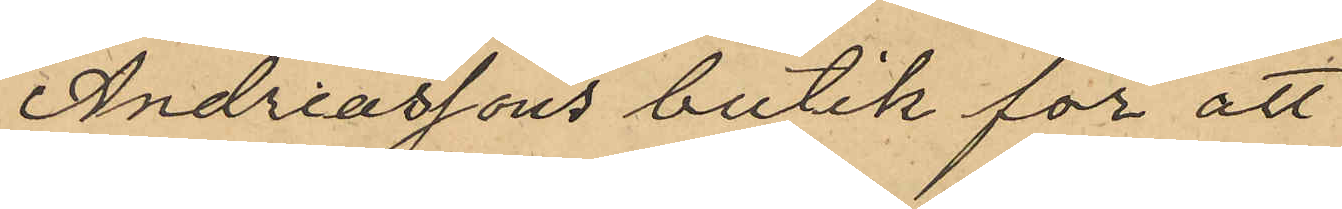Andreassons butik för att
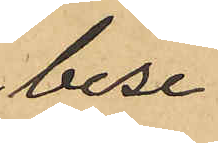bese
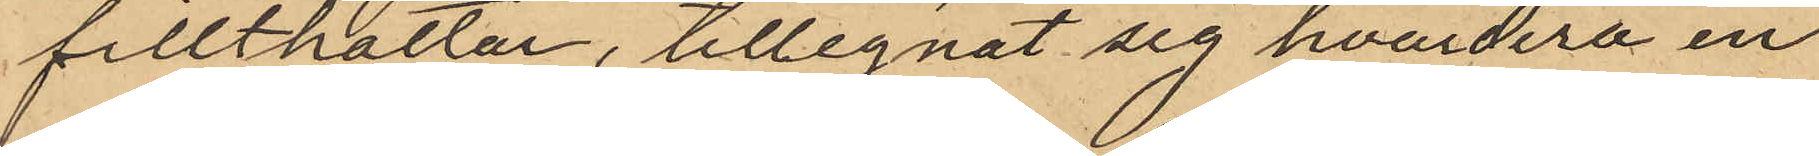fillthattar, tillegnat sig hvardera en
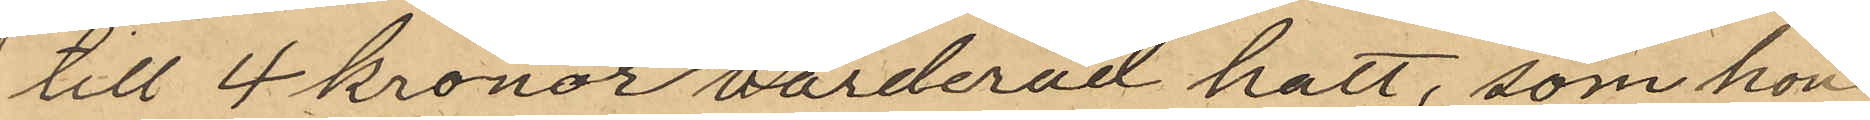till 4 kronor värderad hatt, som hon
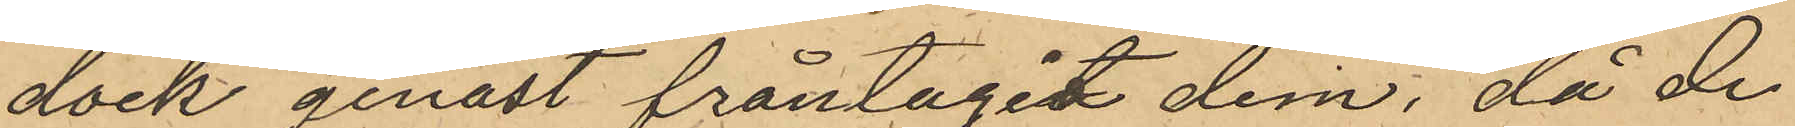dock genast fråntagit dem, då de
